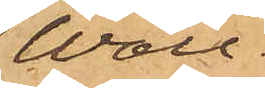Wall.
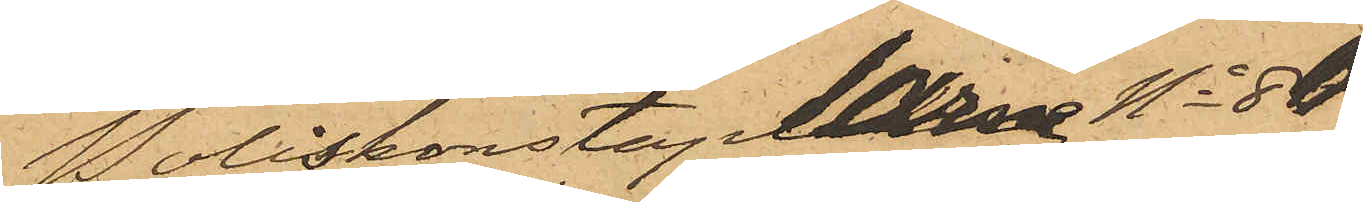Poliskonstaplarne No 86
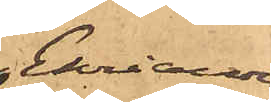Ehriander
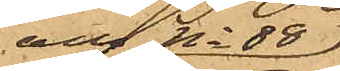och No 88
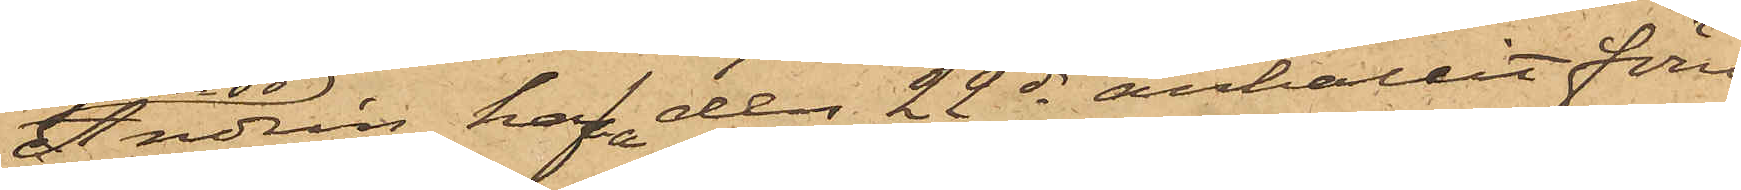Andrén hafva den 22 ds anhållit förre
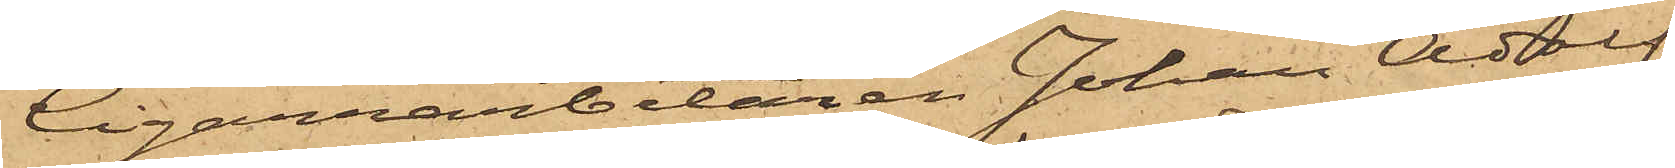Cigarrarbetaren Johan Adolf
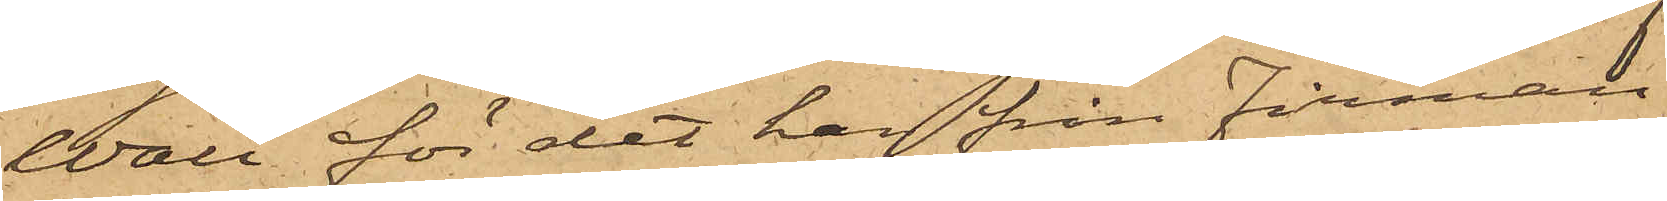Wall för det han från Firman
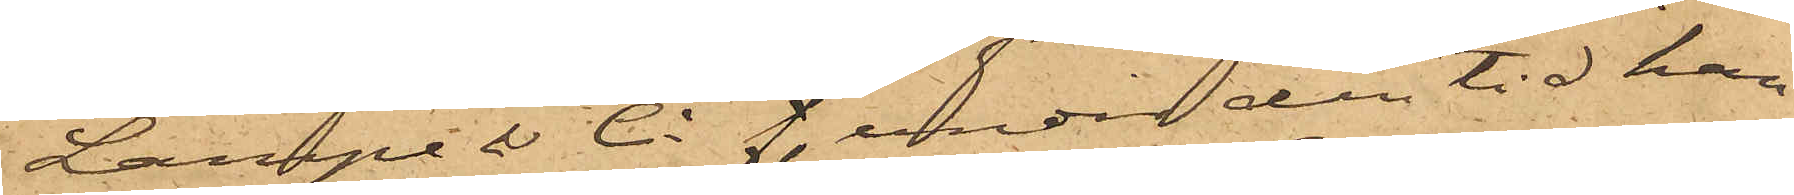Lampe & Ci f under den tid han
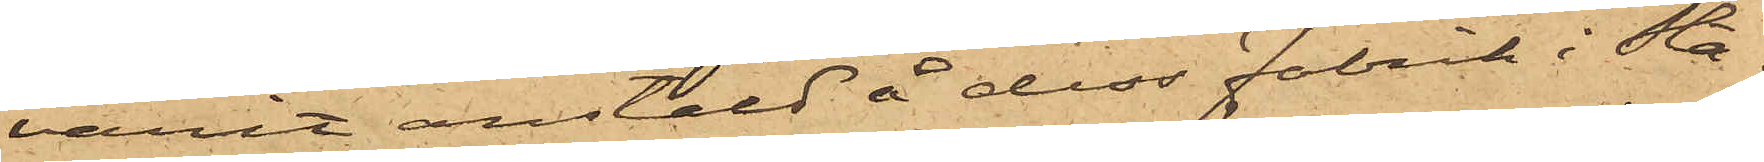varit anstäld å dess Fabrik i Sta¬
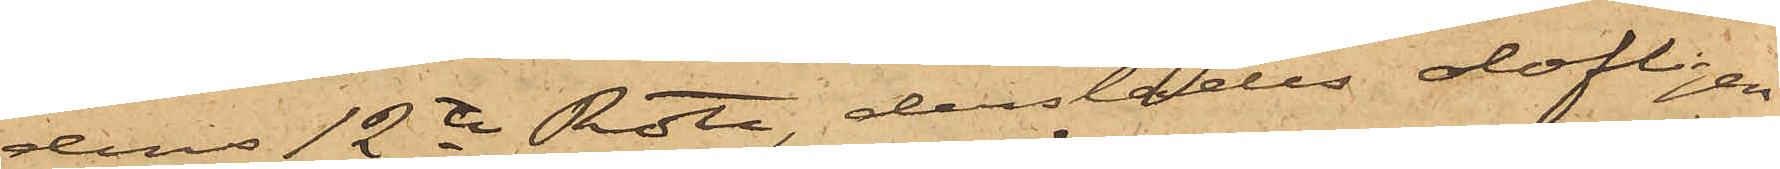dens 12te Rote, derstädes olofligen
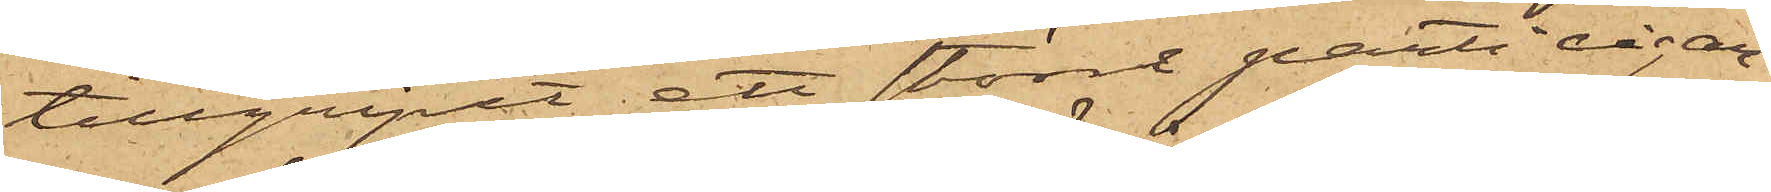tillgripit ett större parti cigar¬
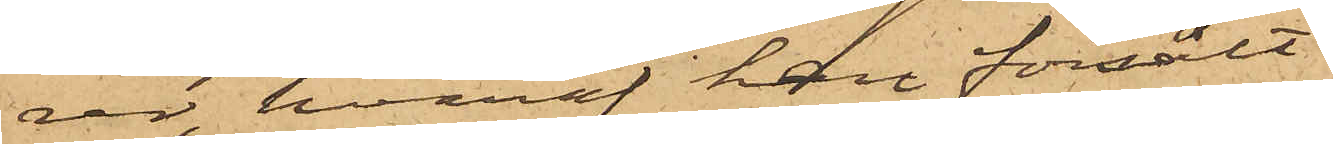rer, hvaraf han försålt
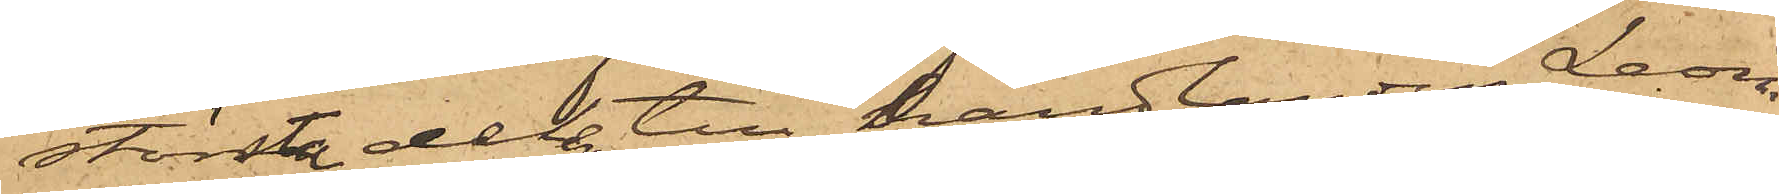största delen till handlanden Leon
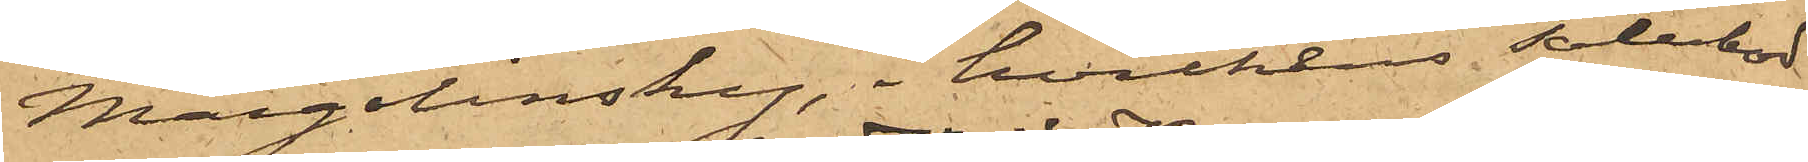Margolinsky, i hvilkens salubod
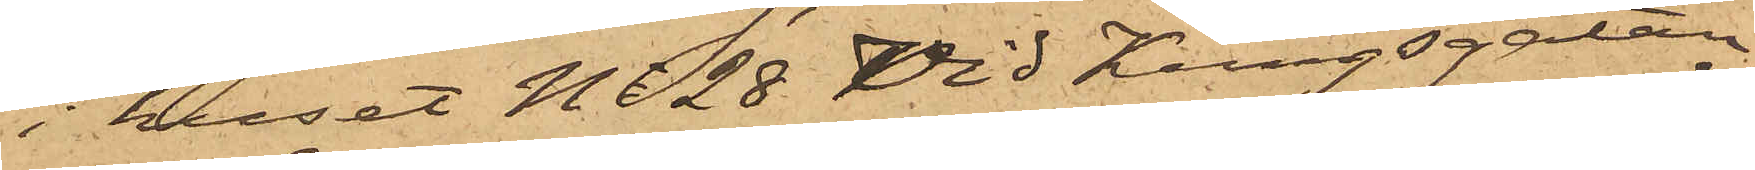i huset No 28 vid Kungsgatan,
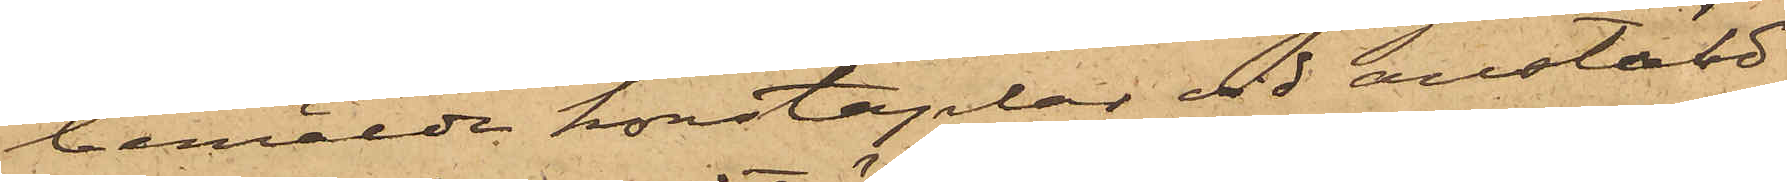bemälde konstaplar vid anstäld
